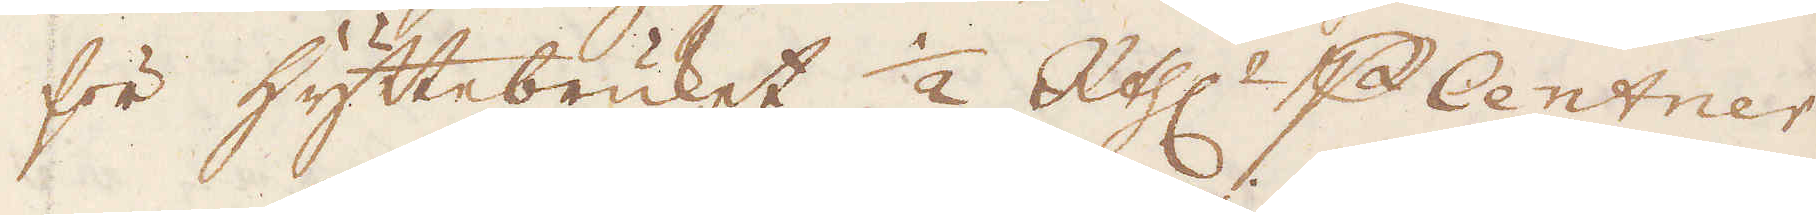för hyttebruket 1/2 R:thlr p Centner.
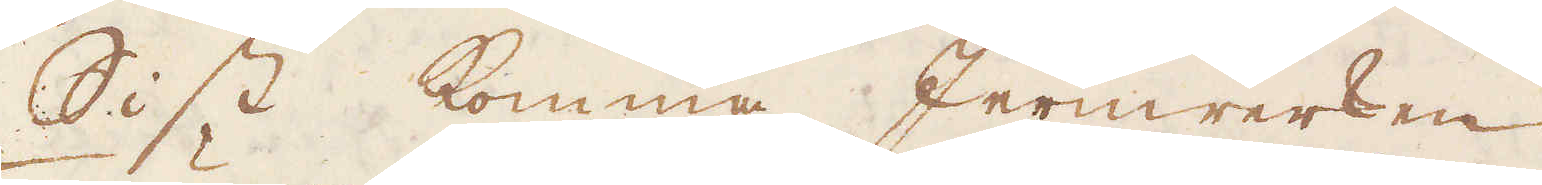Sist komma Jernwerken
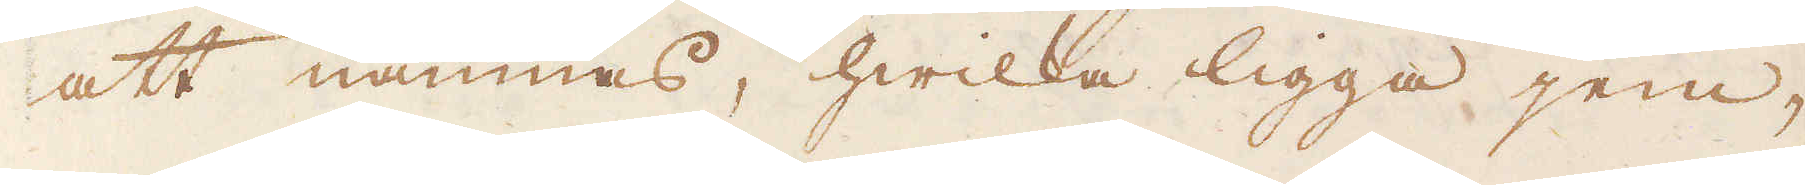att nämnas, hwilka ligga jem-
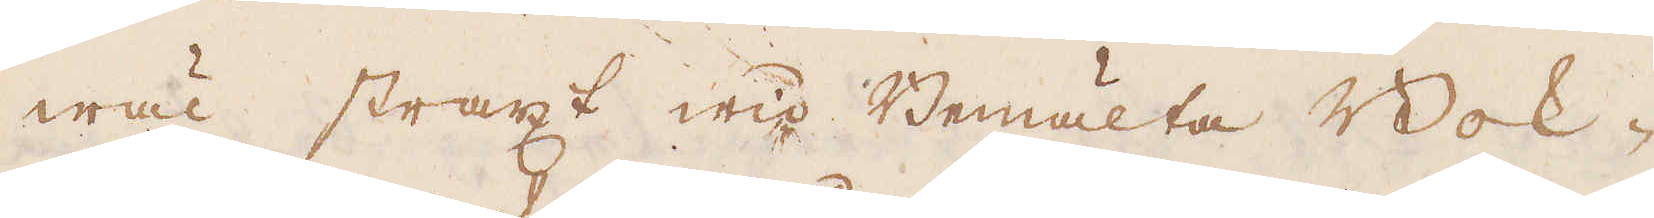wäl straxt wid Bemälta Bok-
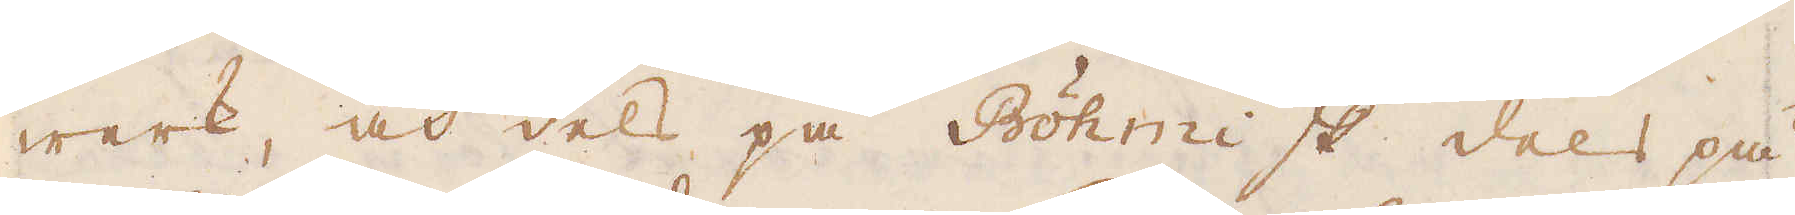werk, och dels på Böhmiske dels på
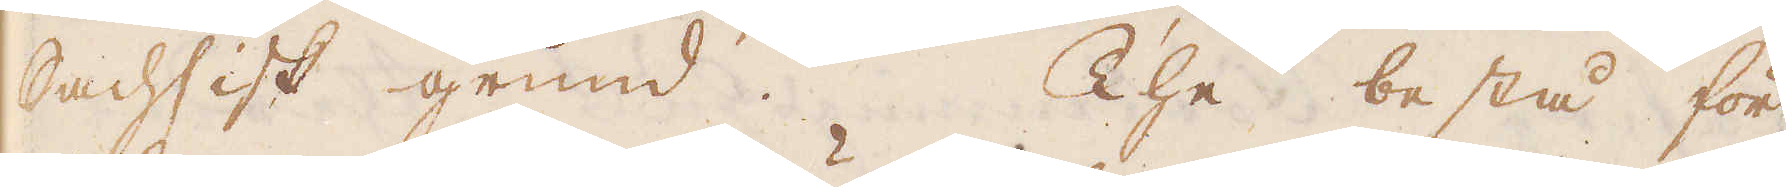Sachsisk grund. The bestå för
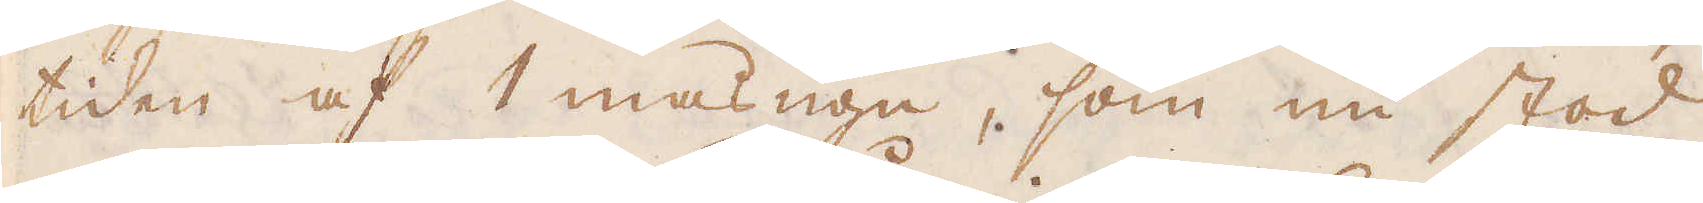tiden af 1 masugn, som nu stod
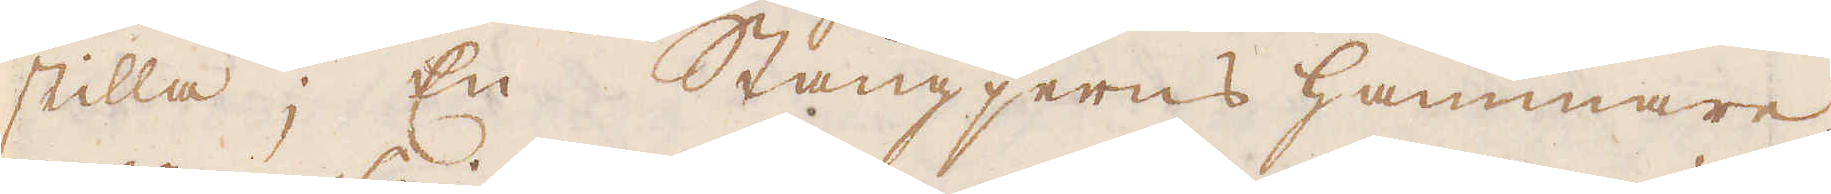stilla; En Stångjerns hammare,
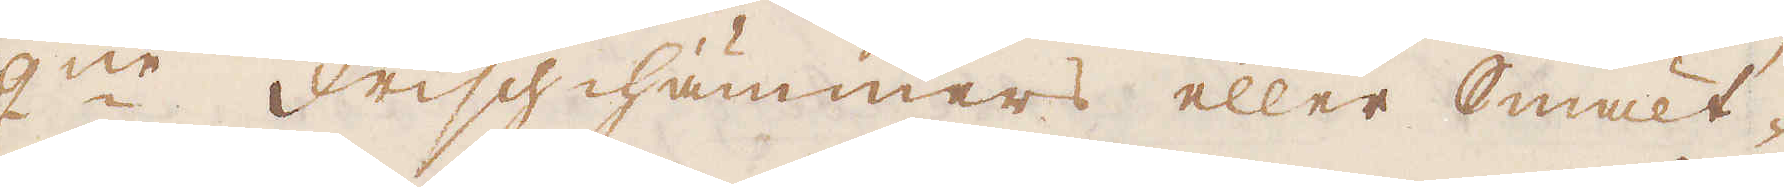2:ne Frisch-hämmers eller Smält-
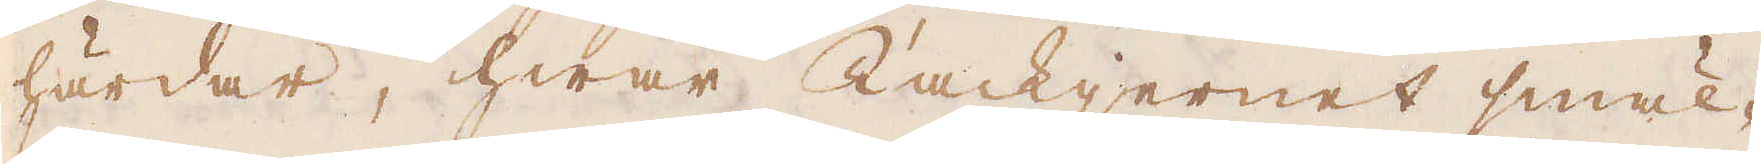härdar, hwar Tackjernet smäl-
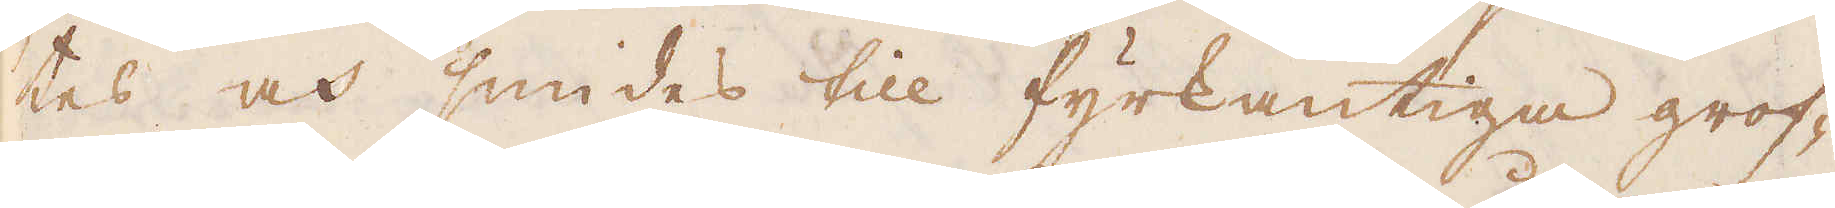tes och smides till fyrkantiga grof-
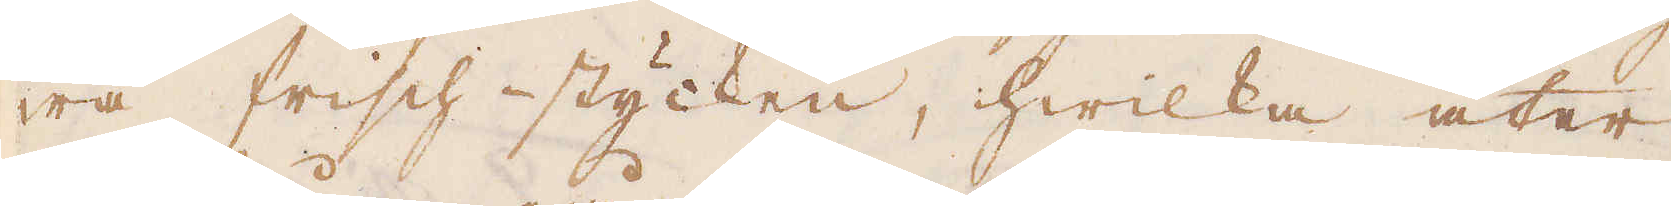wa Frisch-stycken, hwilka åter
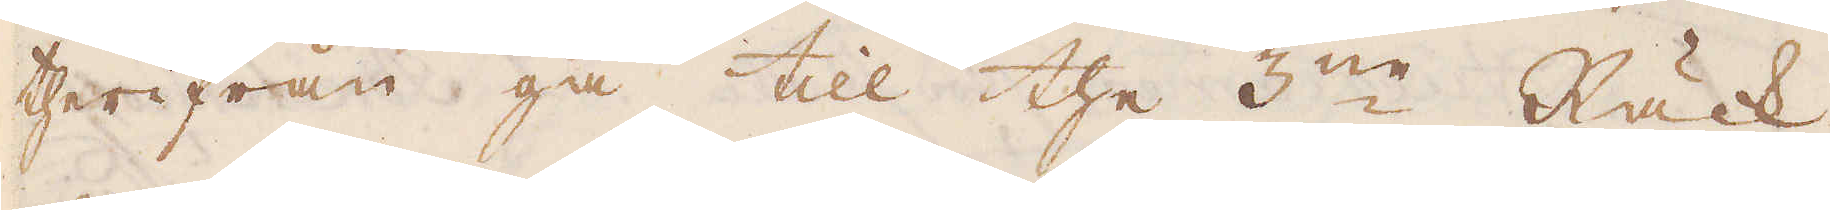therifrån gå till the 3:ne Räck-
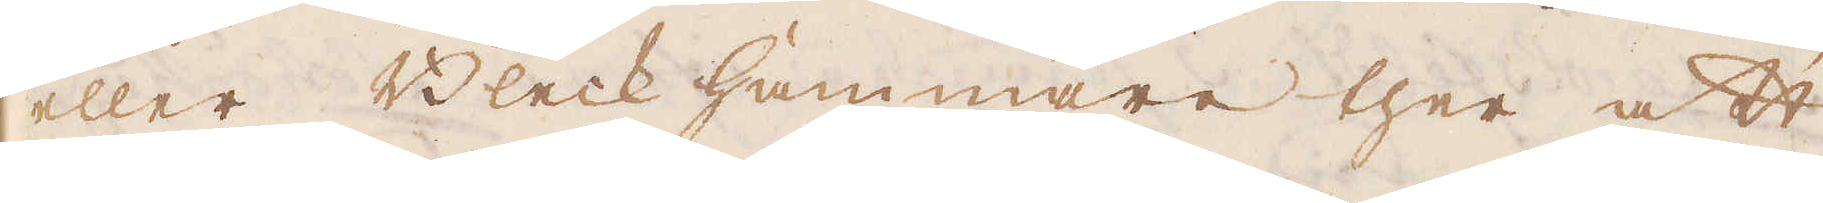eller Bleck hammare ther att
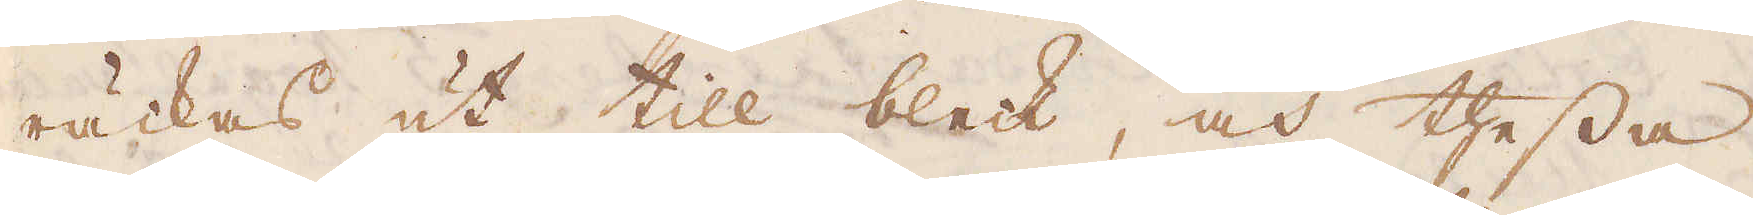räckas ut till bleck, och thessa
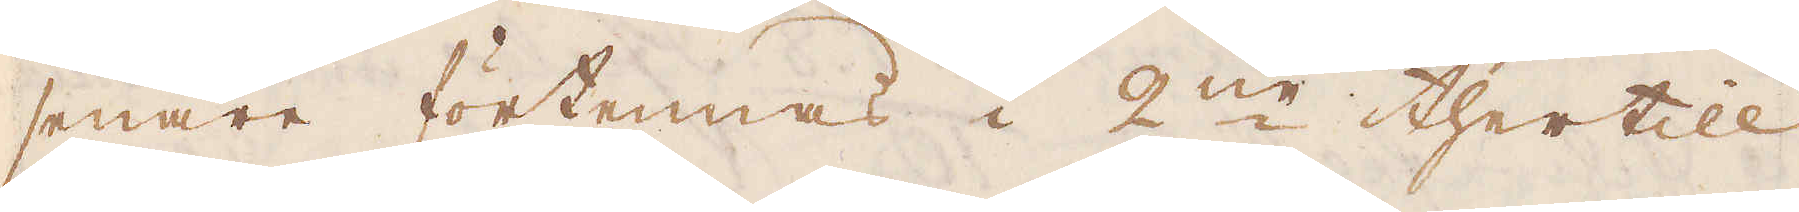senare förtennas i 2:ne thertill
